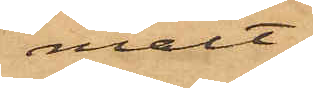mält;
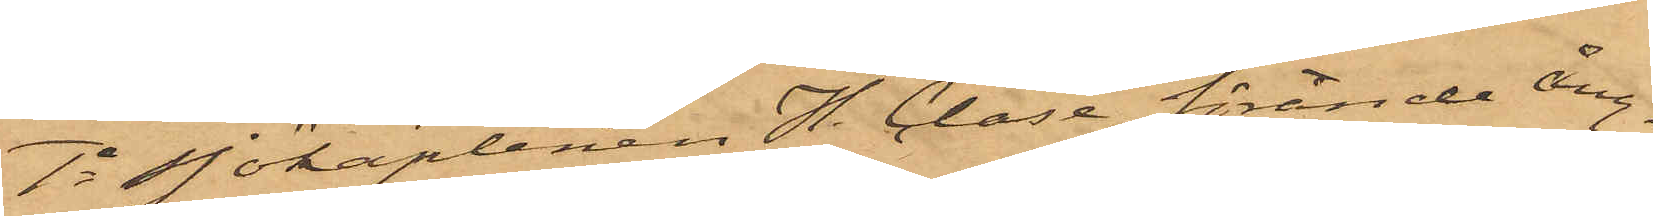1o Sjökaptenen H. Clase, förande ång¬
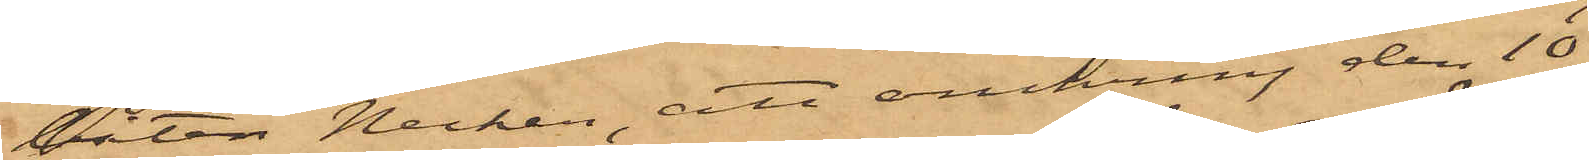båten Necken, att omkring den 10
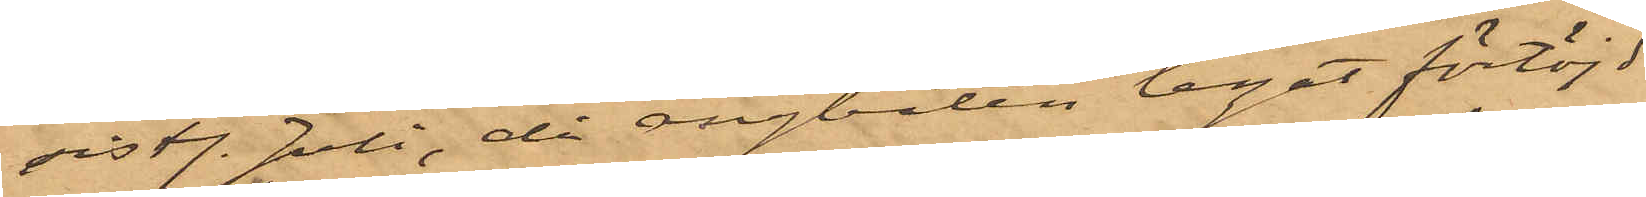sist. Juli, då ångbåten legat förtöjd
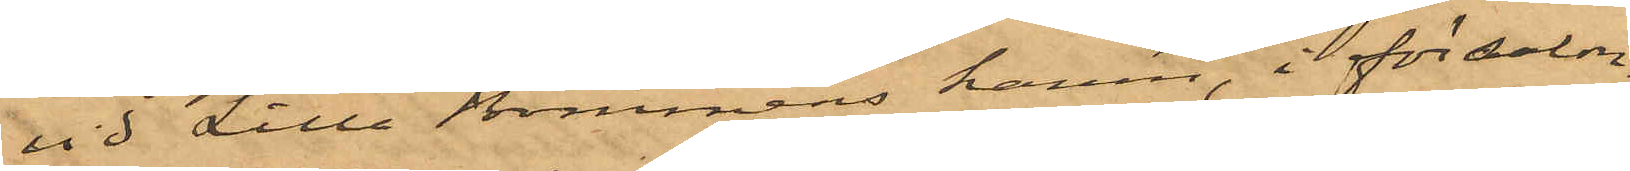vid Lilla Bommens hamn, i försalon¬
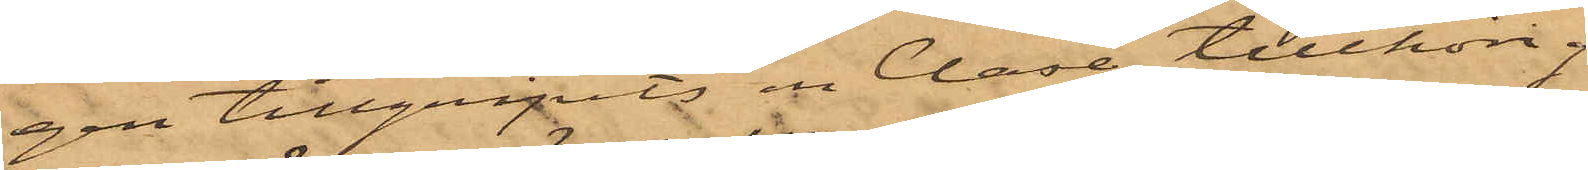gen tillgripits en Clase tillhörig
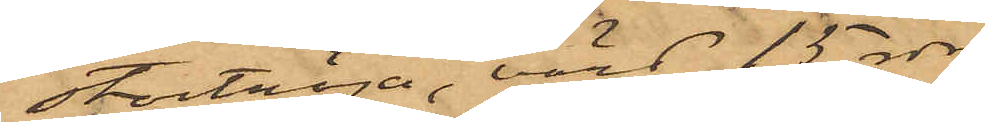stortröja, värd 15 rdr;
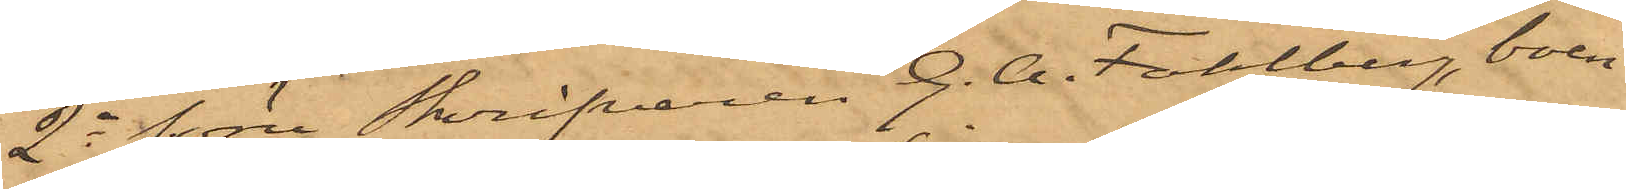2o förre Skrifvaren G. A. Fahlberg, boen¬
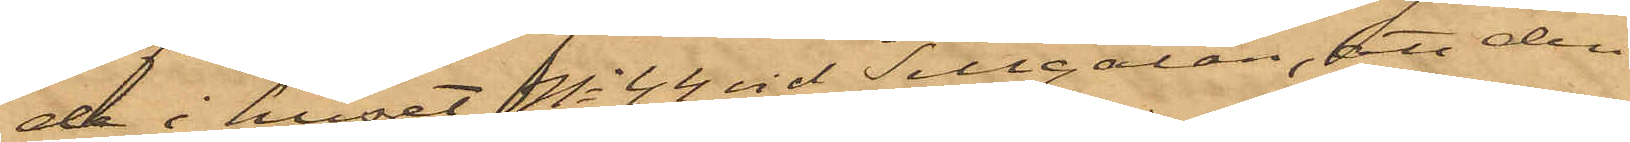de i huset No 44 vid Sillgatan, att den
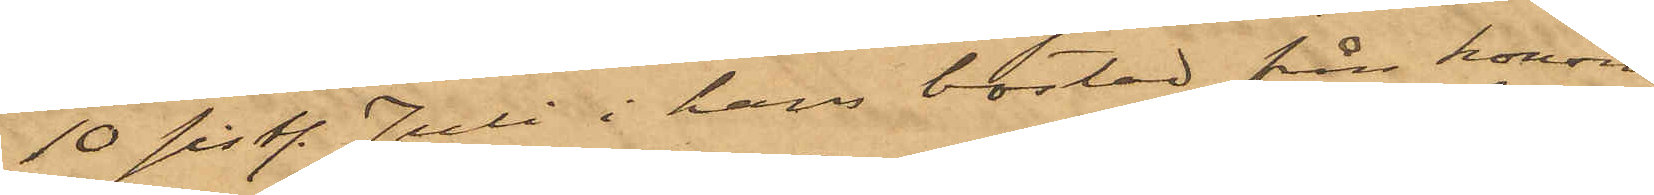10 sist. Juli i hans bostad från honom
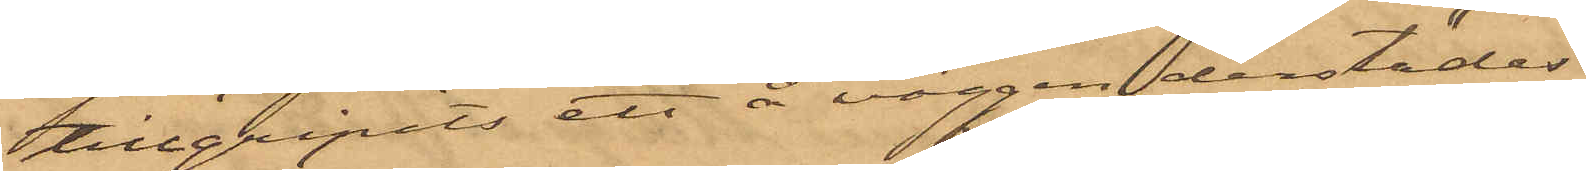tillgripits ett å väggen derstädes
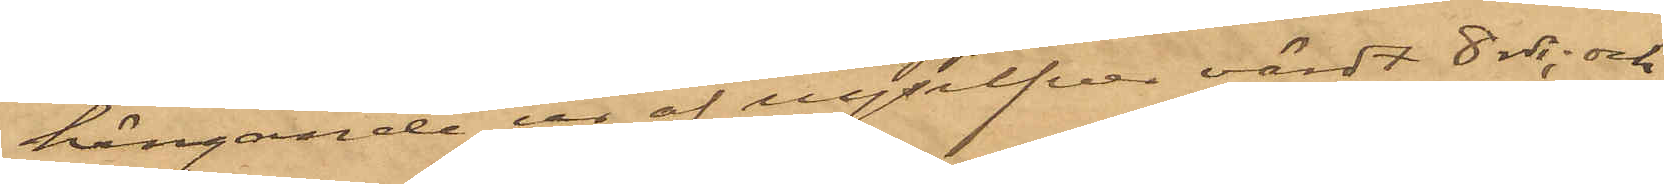hängande ur af nysilfver värdt 8 rdr; och
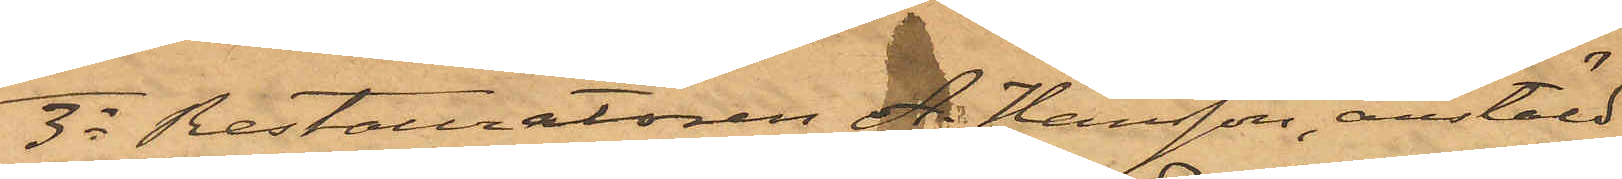3o Restauratören A Hansson, anstäld
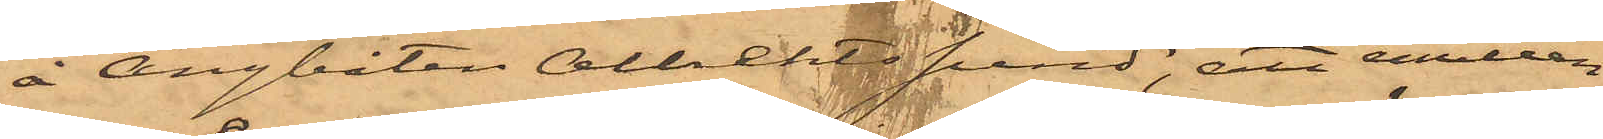å Ångbåten Albrektsund, att emellan
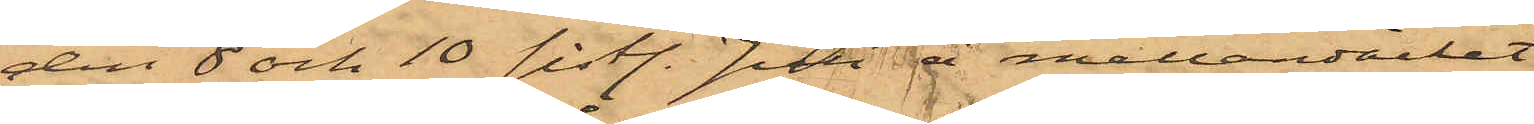den 8 och 10 sistl Juli å mellandäcket
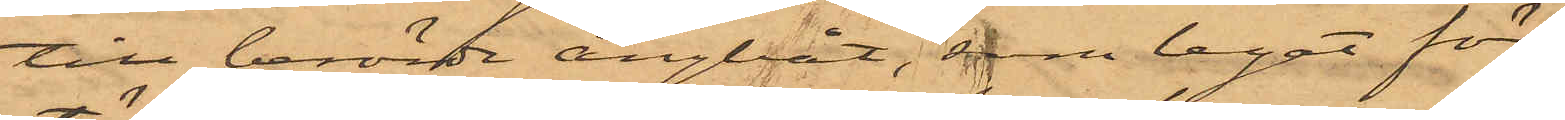till berörde ångbåt, som legat för¬
